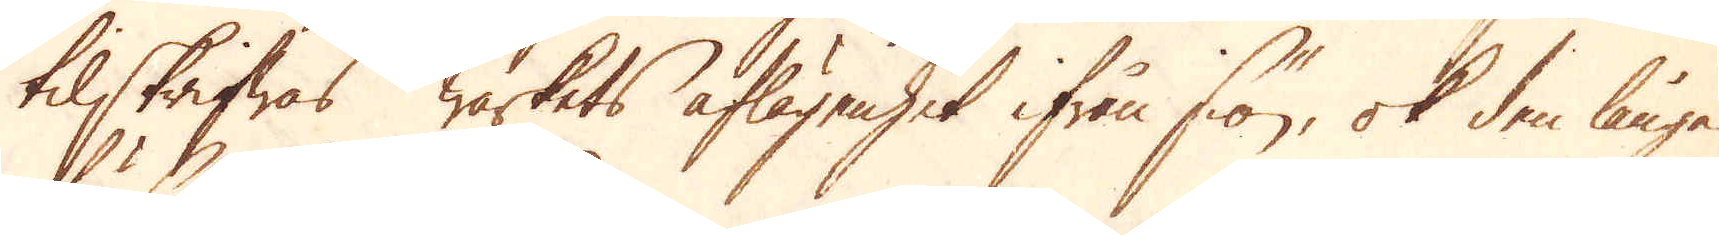tilskrifwas Wärkets aflägsenhet ifrån siön, ok den långa
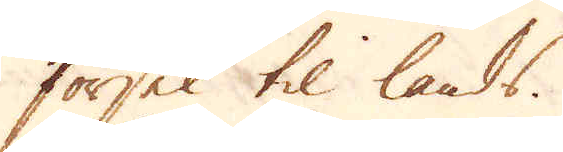försel til lands.
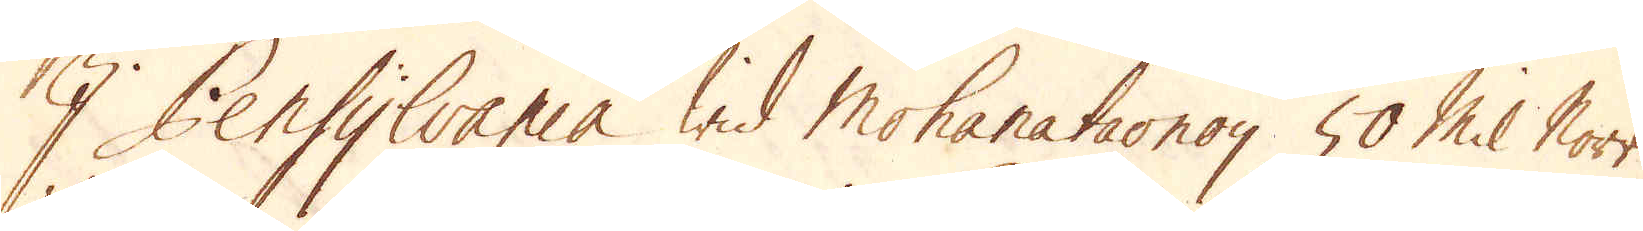I Pensylvania wid Mohanataonoy 50 Mil Norr
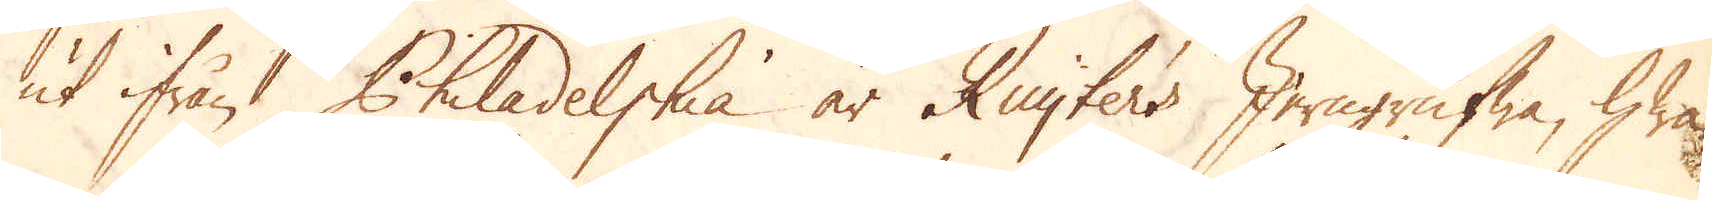ut ifrån Philadelphia är Ruyter's Jerngrufwa, hwa-
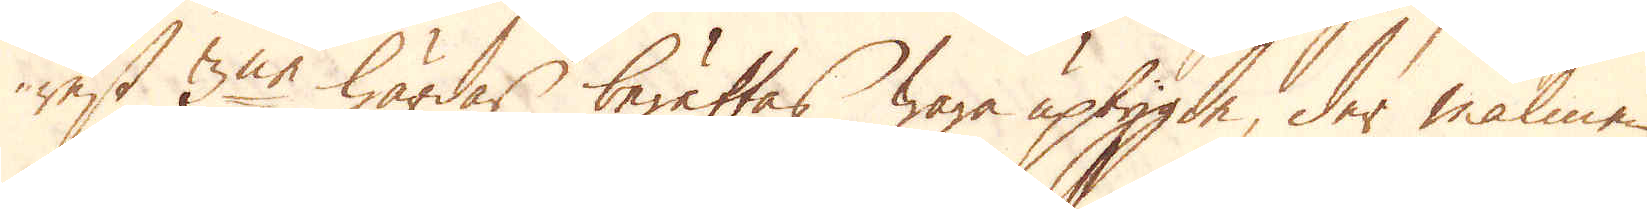rest 3ne härdar berättas wara upbygde, der malmen
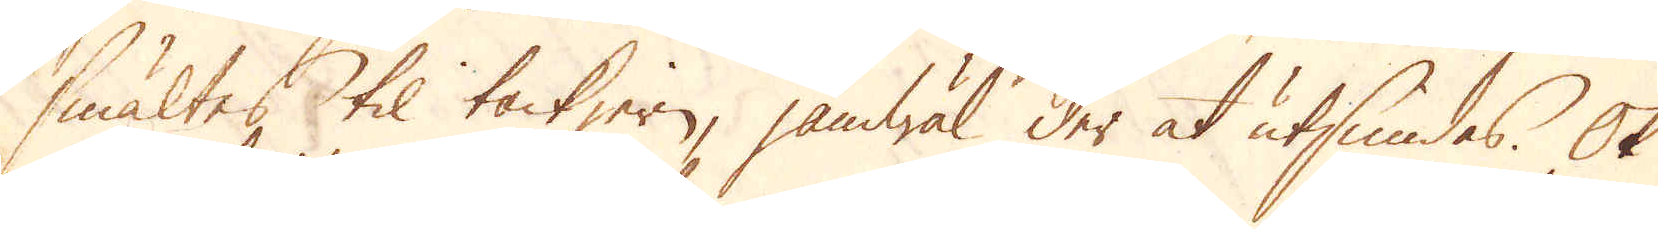smältes til tackjern, jämwäl der at utsmidas. Ok
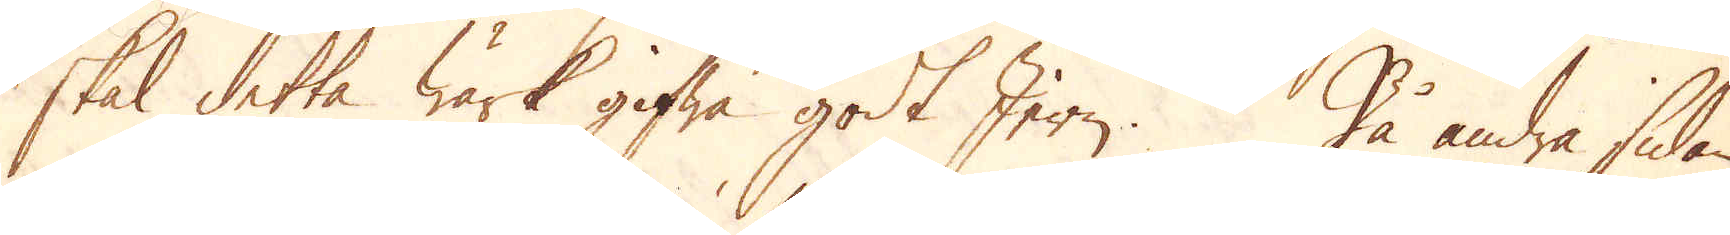skal detta Wärk gifwa godt Jern. På andra sidan
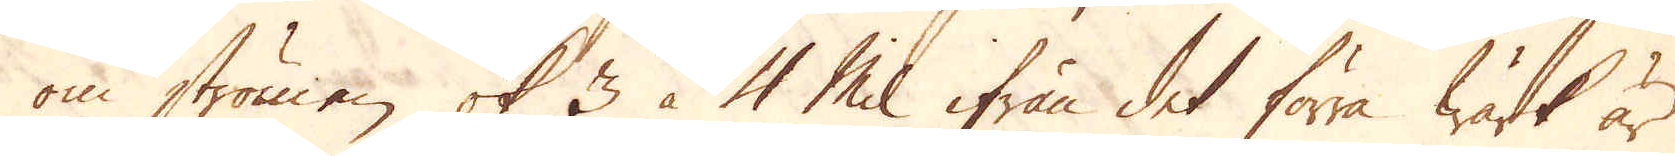om strömen, ok 3 à 4 Mil ifrån det förra Wärk är
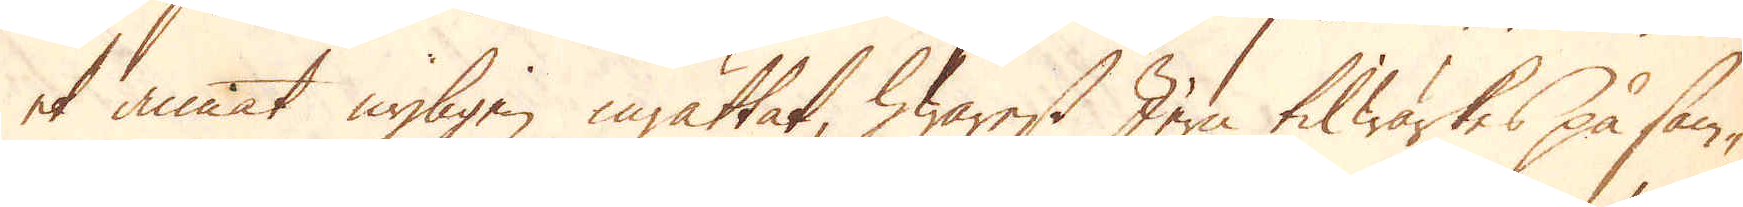et annat nyligen inrättat, hwarest Jern tilwärkes på sam-
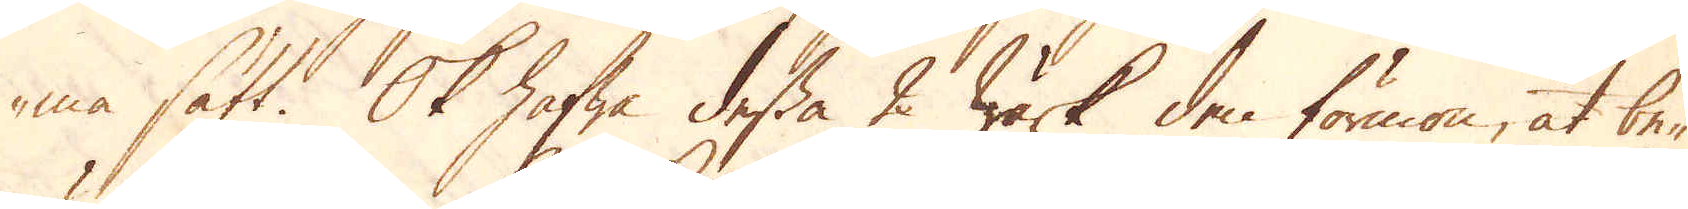ma sätt. Ok hafwa dessa 2 Wärk den förmon, at be-
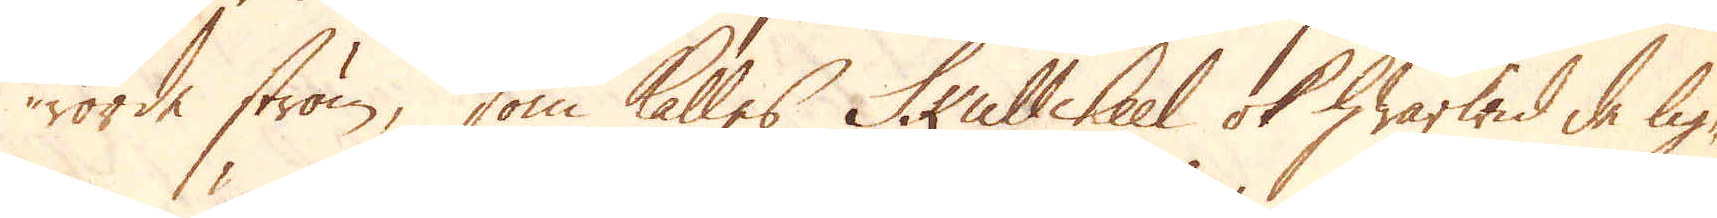rörde ström, som kalles Skullkeel ok hwarwid de lig-
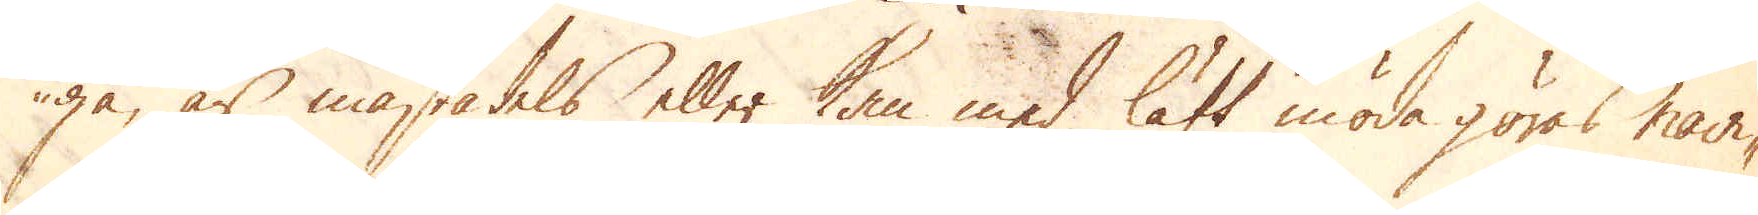ga, är mästadels eller kan med lätt möda göras navi-
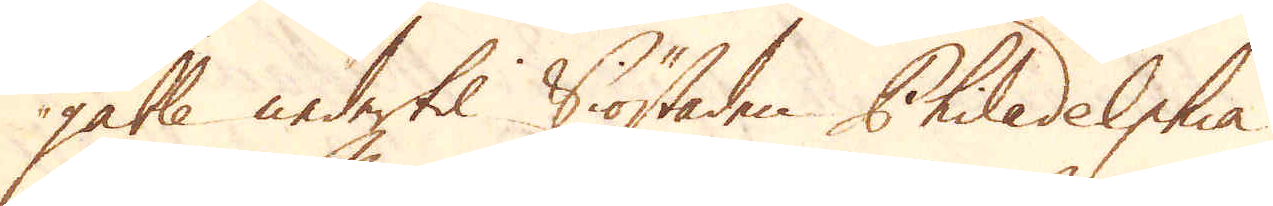gable nedertil Siöstaden Philadelphia.
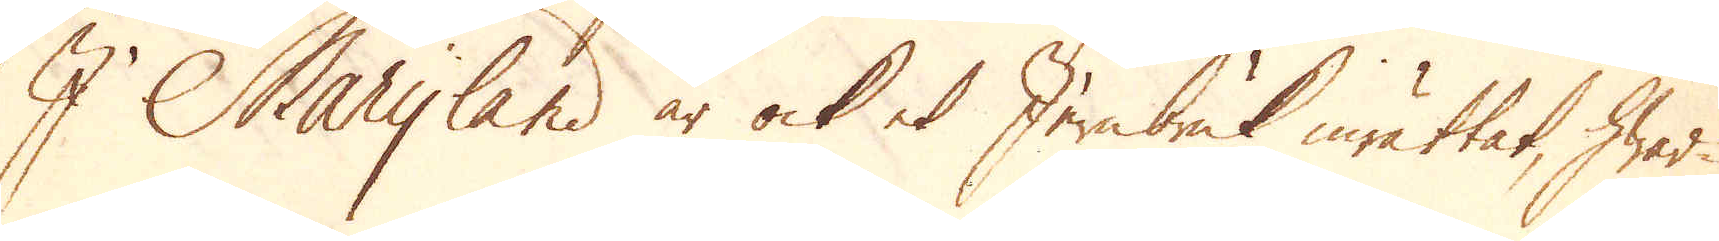I Maryland är ock et Jernbruk inrättat, hwar-
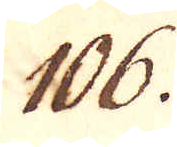106.
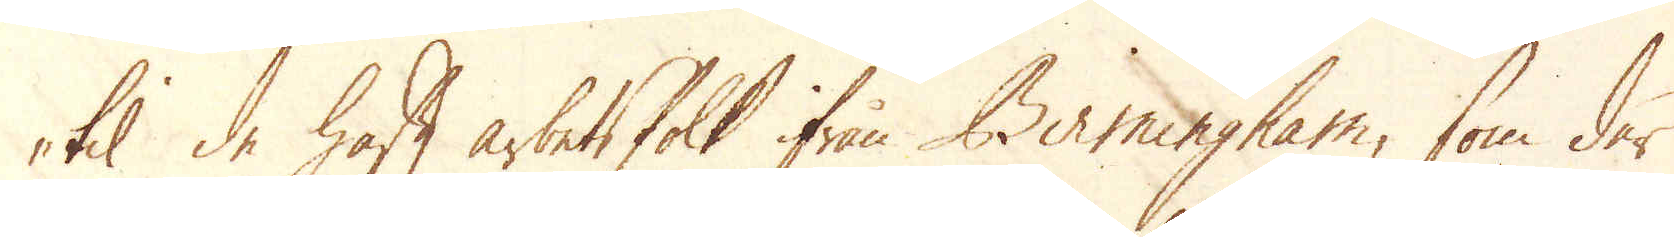til de haft arbetsfolk ifrån Birmingham, som der
